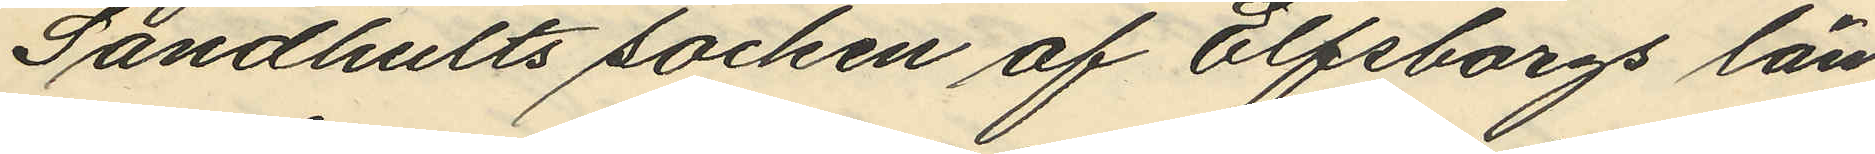Sandhults socken af Elfsborgs län,
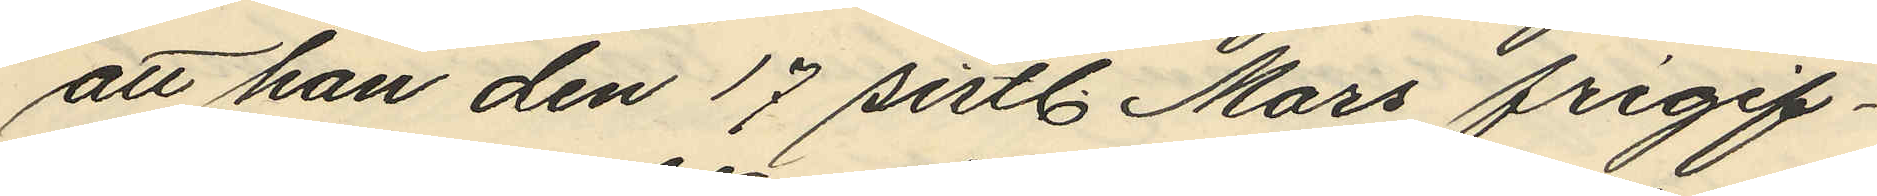att han den 17 sistl. Mars frigif¬
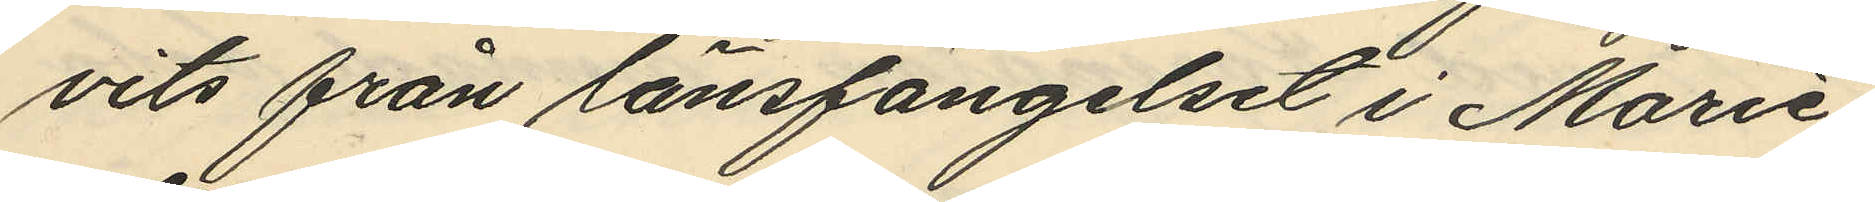vits från länsfängelset i Marie¬
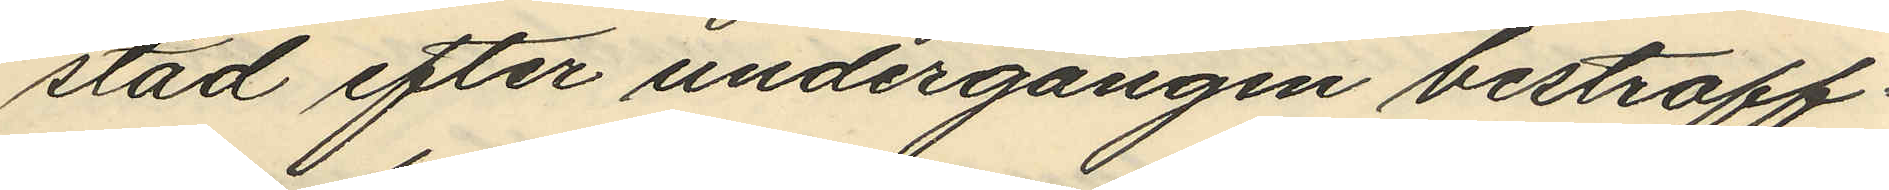stad efter undergången bestraff¬
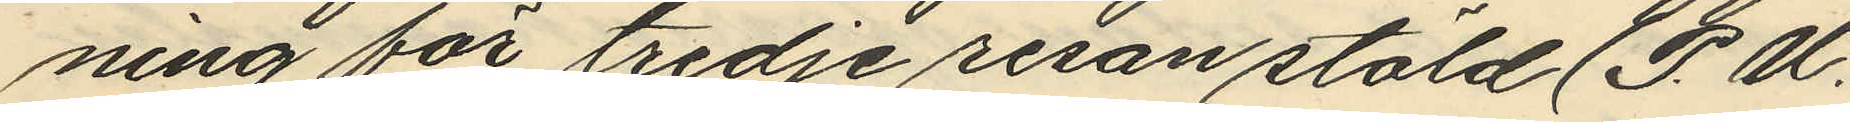ning för tredje resan stöld (P. U.
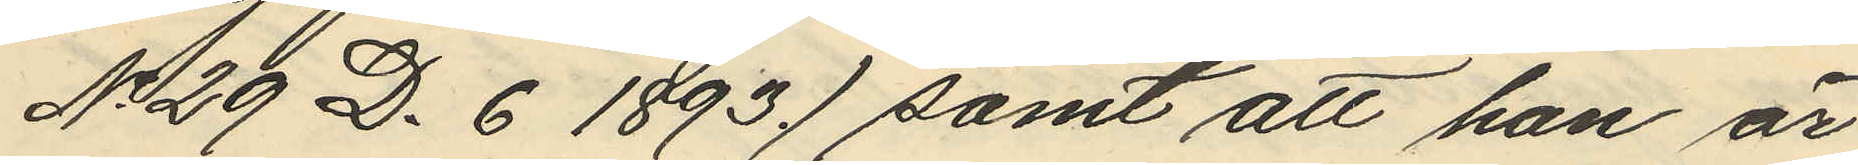No 29 D. 6 1893.) samt att han är
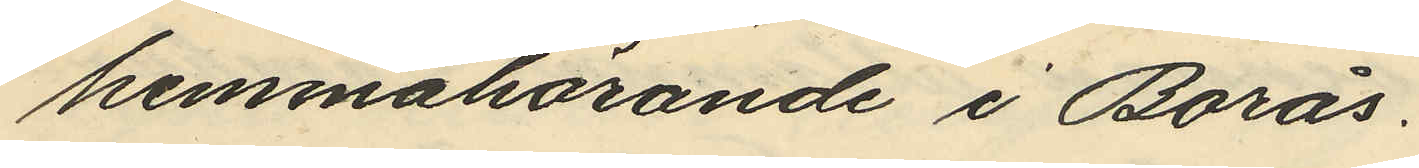hemmahörande i Borås.
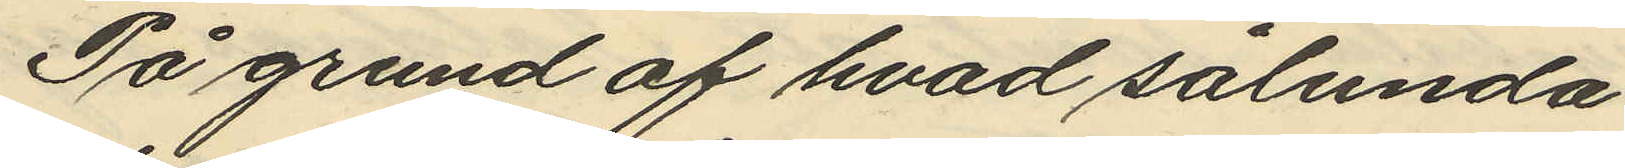På grund af hvad sålunda
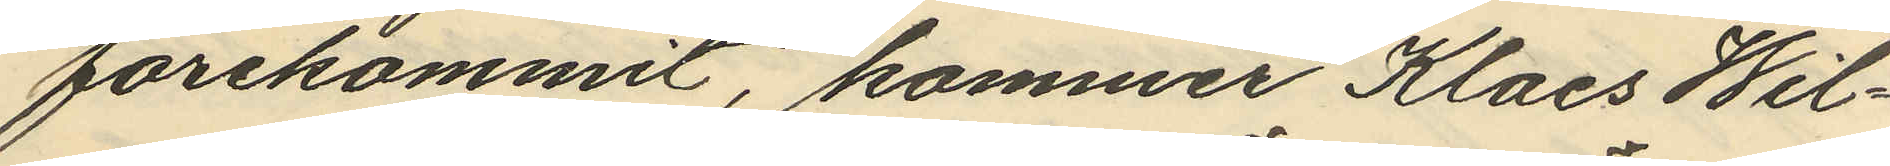förekommit, kommer Klaes Wil¬
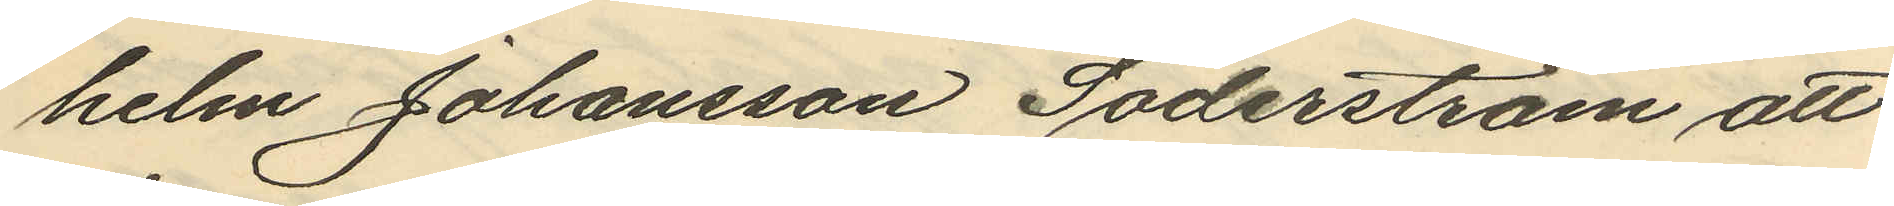helm Johansson Söderström att
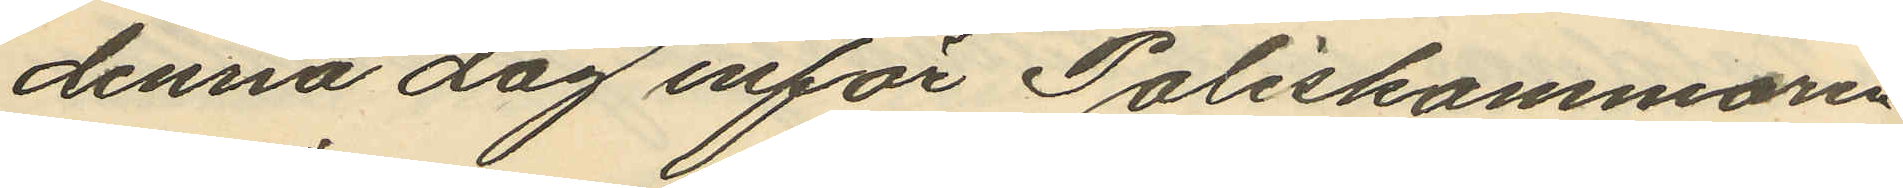denna dag inför Poliskammaren
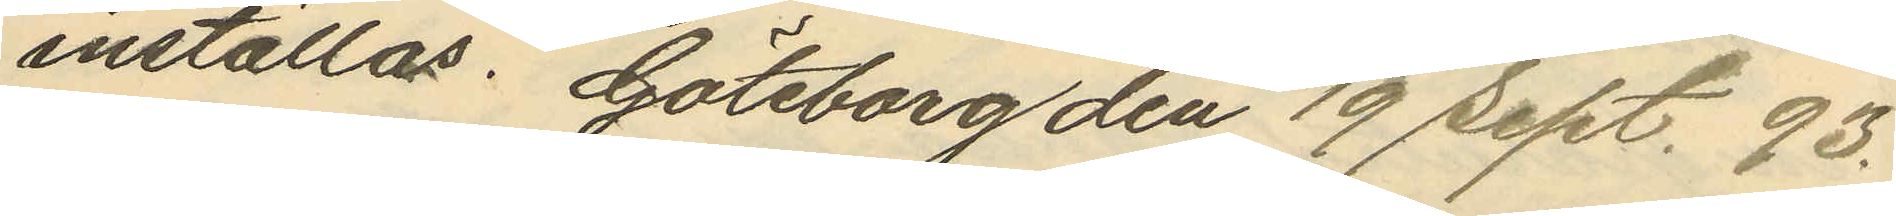inställas. Göteborg den 19 sept. 93.
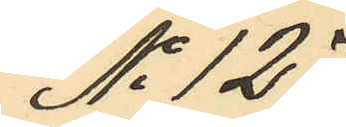No 127
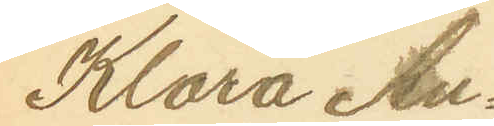Klara An¬
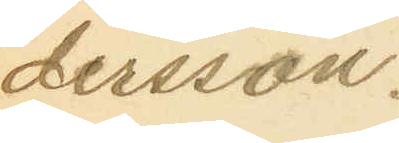dersson.
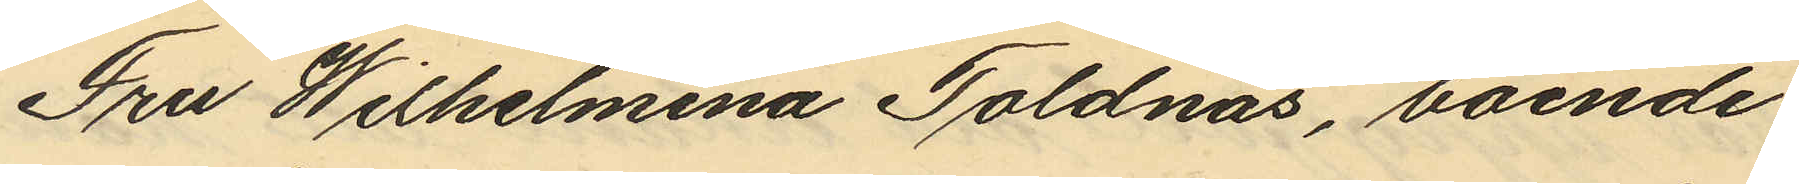Fru Wilhelmina Toldnäs, boende
